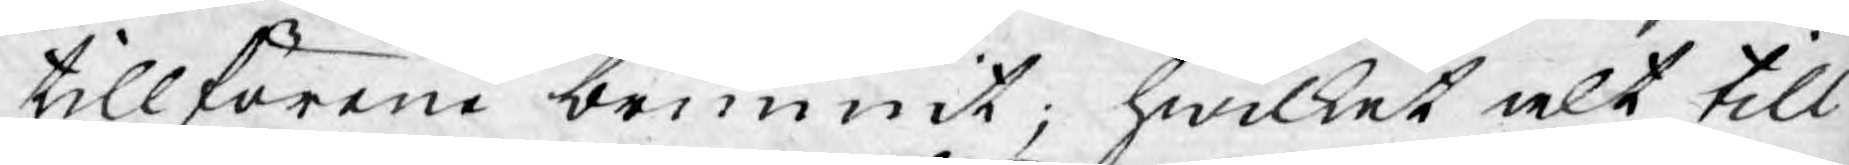tillförene brunnit; hwilket alt till
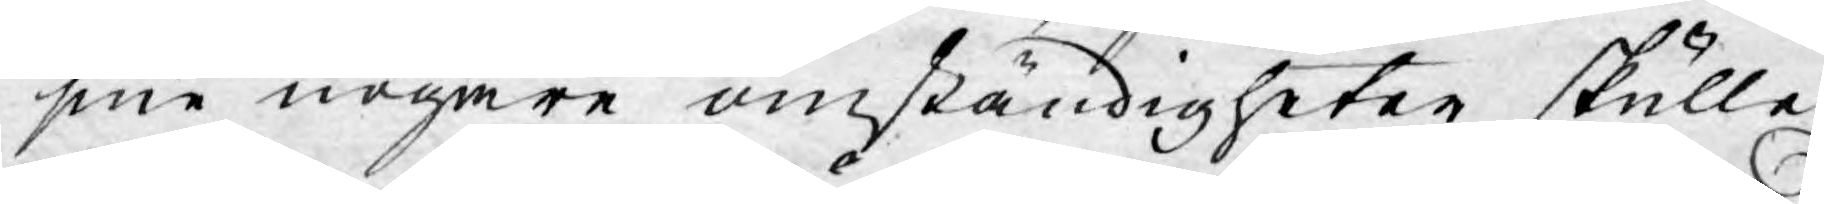sine nogare omständigheter skulle
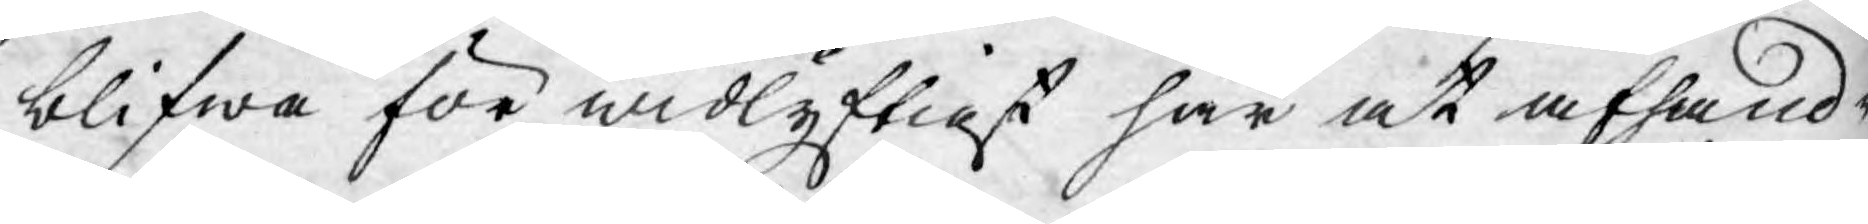blifwa för widlyftigt här at afhand¬
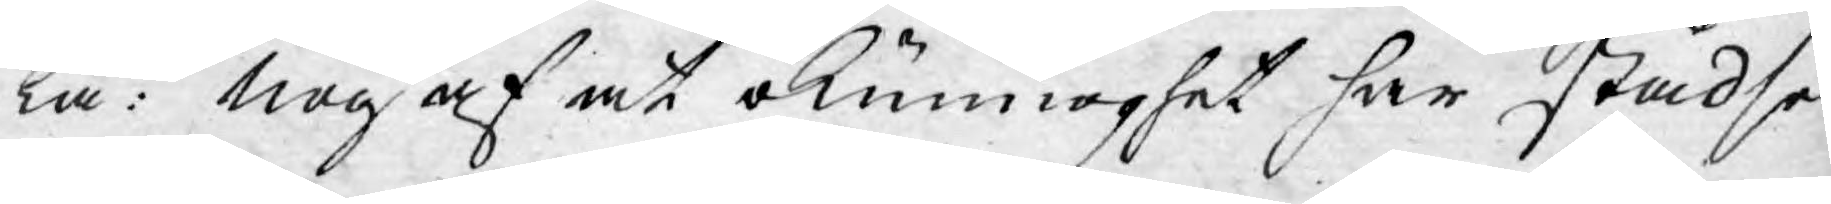la: nog af at okunnoghet har städse
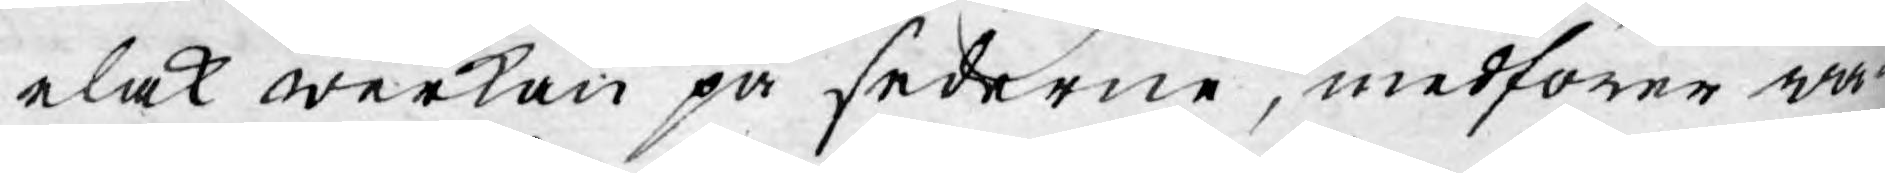elak werkan på sederne, medförer wå¬
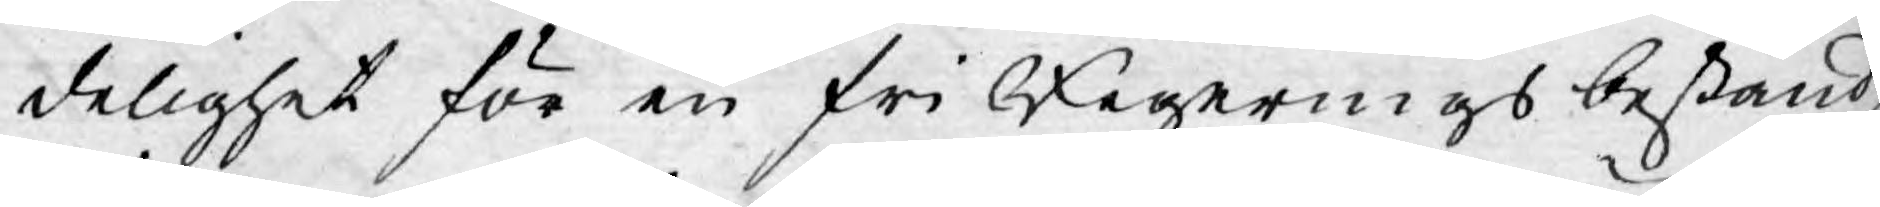delighet för en fri Regerings bestånd,
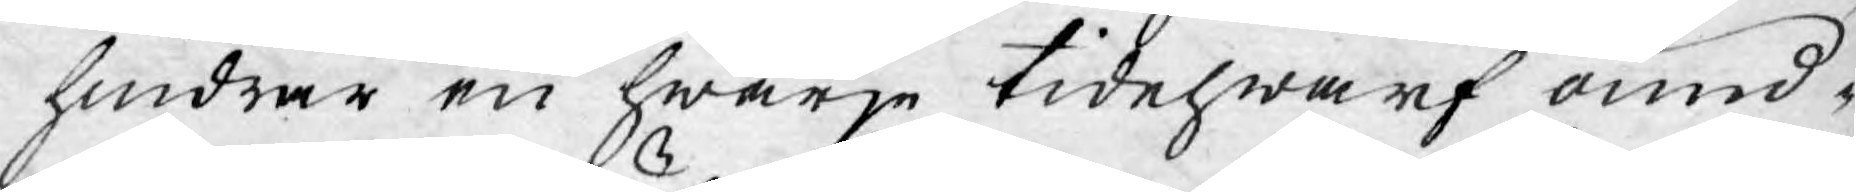hindrar en hwarje tidehwarf ound¬
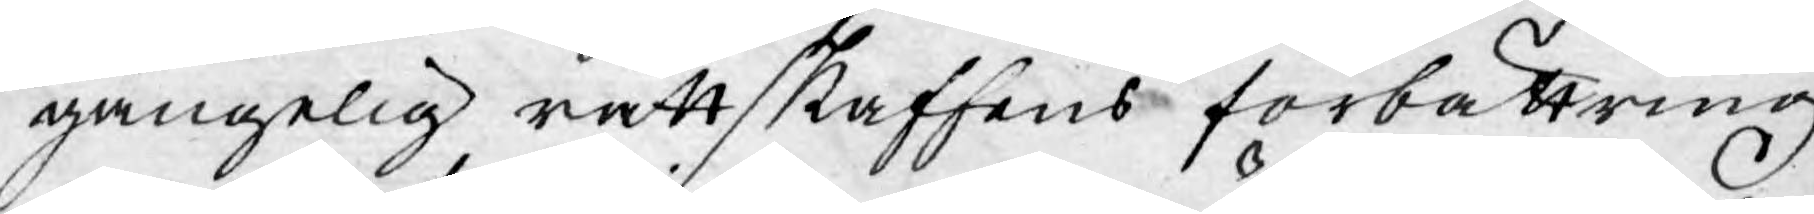gängelig rättskaffens förbättring
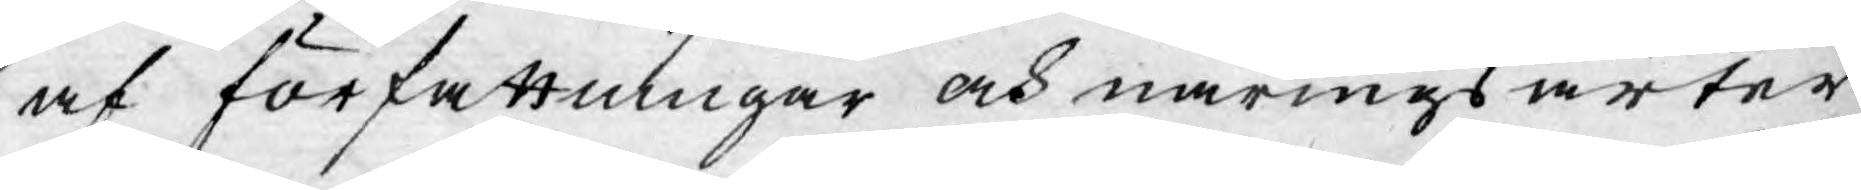af författningar och näringsarter
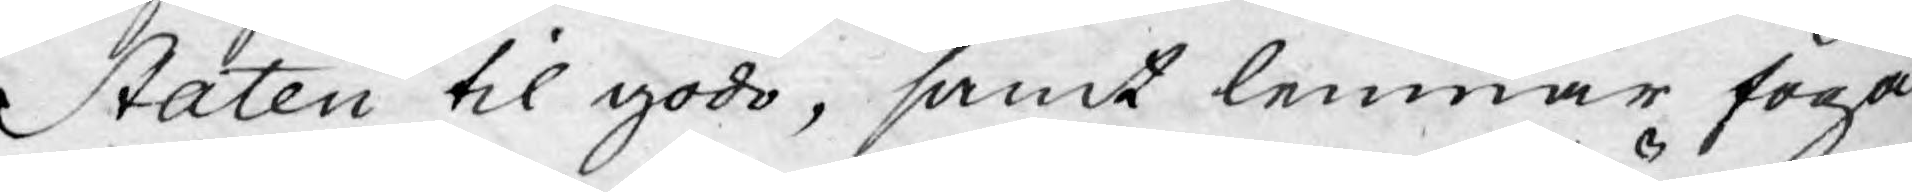Staten til godo, samt lemnar föga
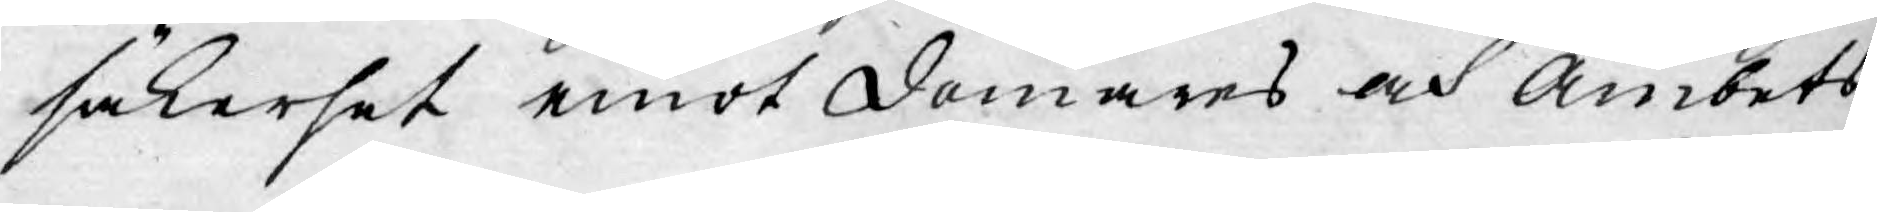säkerhet emot domares och Ämbets
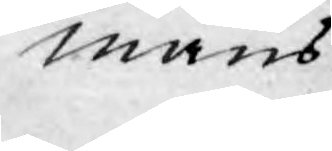mäns
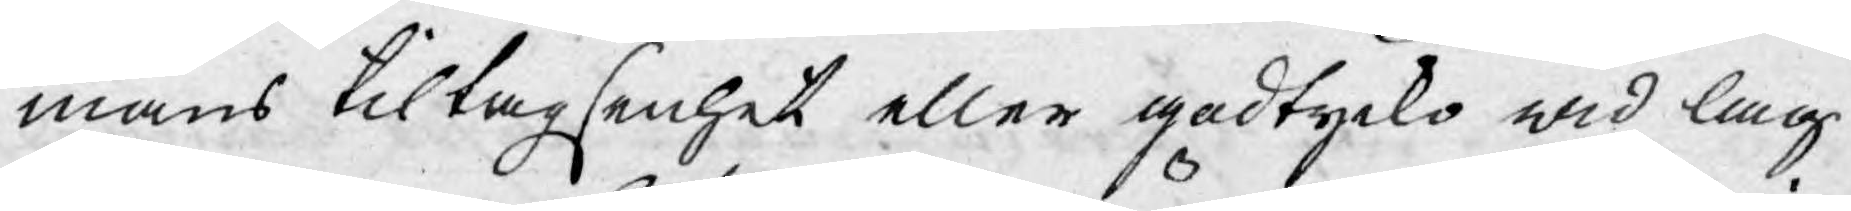mäns tiltagsenhet eller godtycko wid lag¬
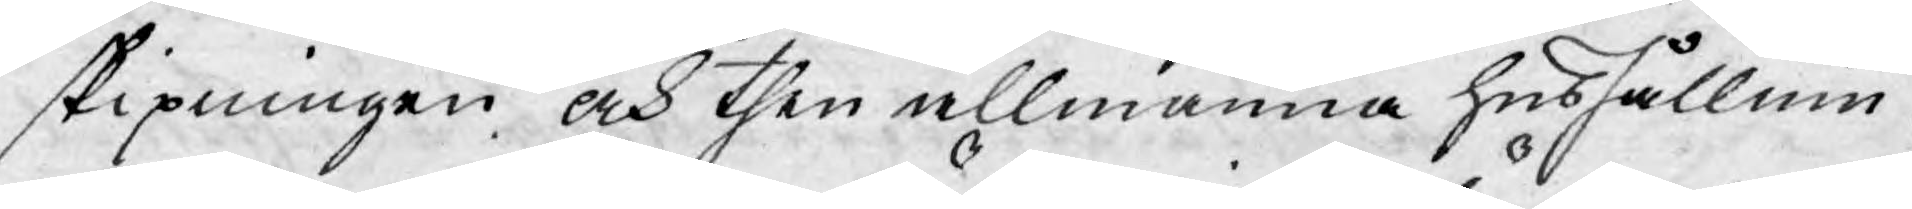skipningen och then allmänna hushållnin¬
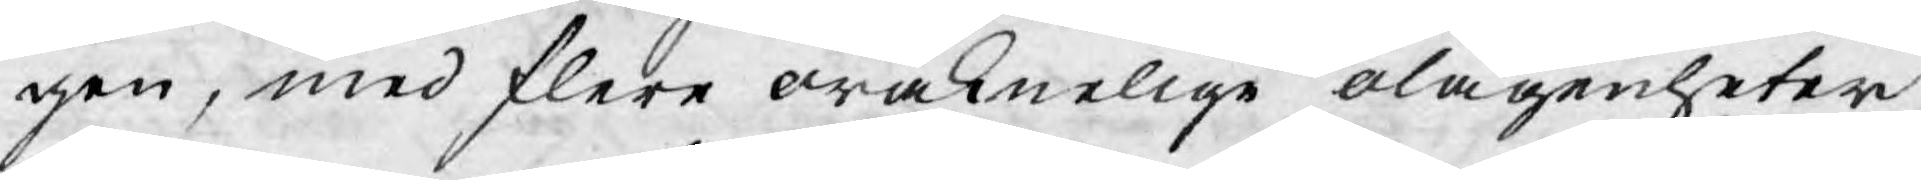gen, med flere oräknelige olägenheter
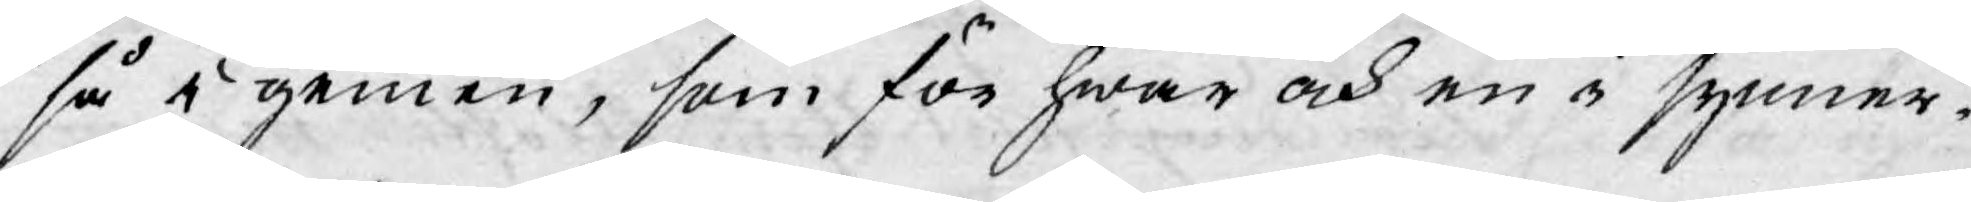så i gemen, som för hwar och en i synner¬
